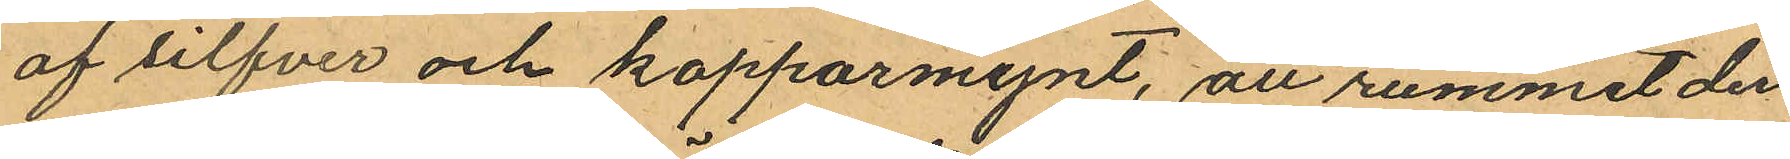af silfver och kopparmynt, att rummet der
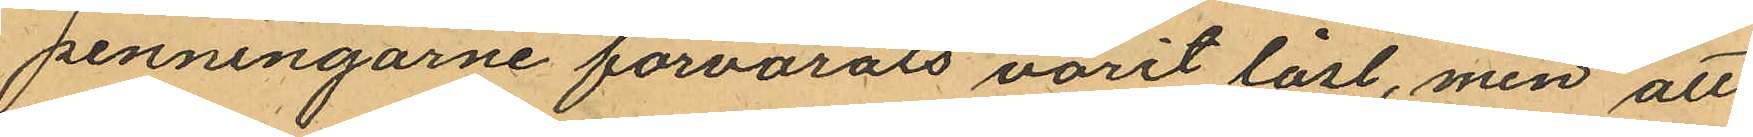penningarne förvarats varit låst, men att
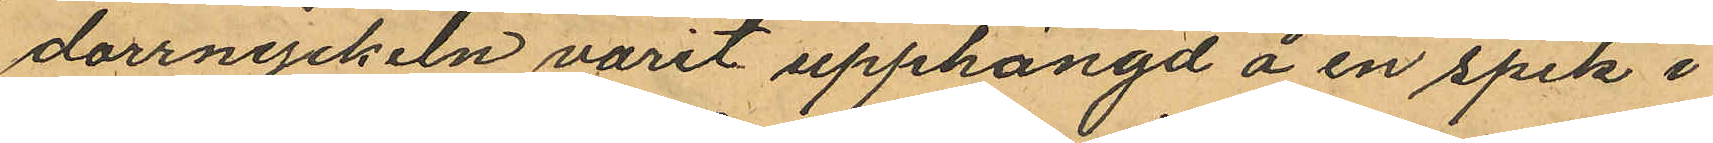dorrnyckeln varit upphängd å en spik i
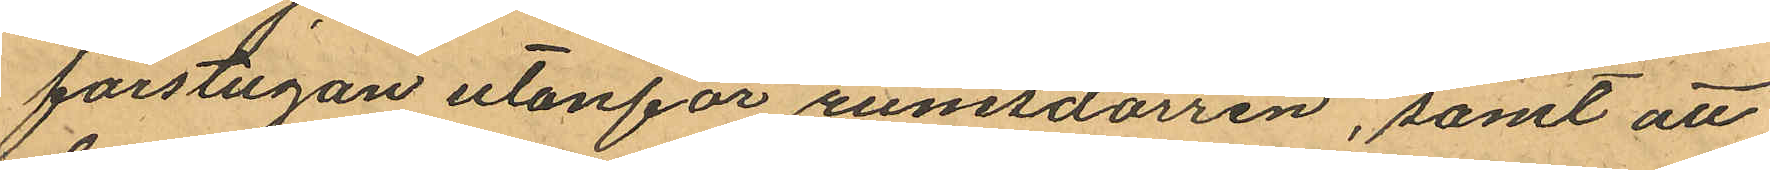förstugan utanför rumsdörren, samt att
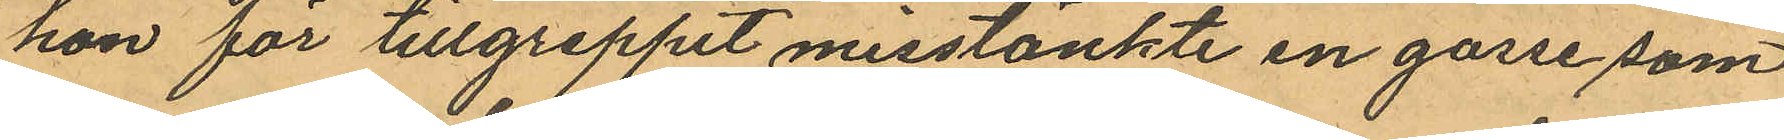hon för tillgreppet misstänkte en gosse som
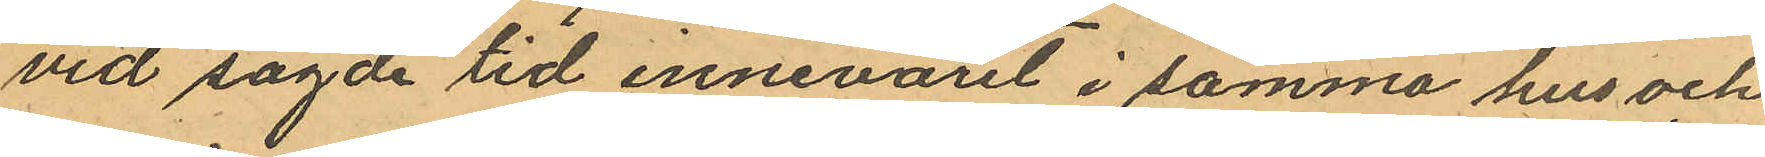vid sagde tid innevarit i samma hus och
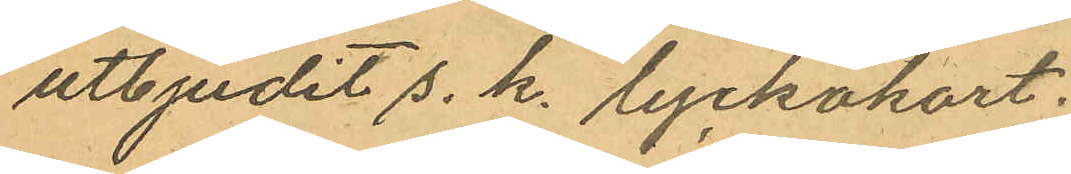utbjudit s. k. lyckokort;
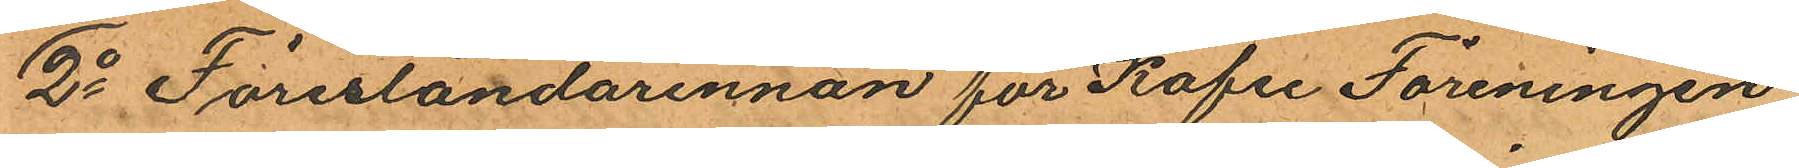2o Föreståndarinnan för Kafee Föreningen
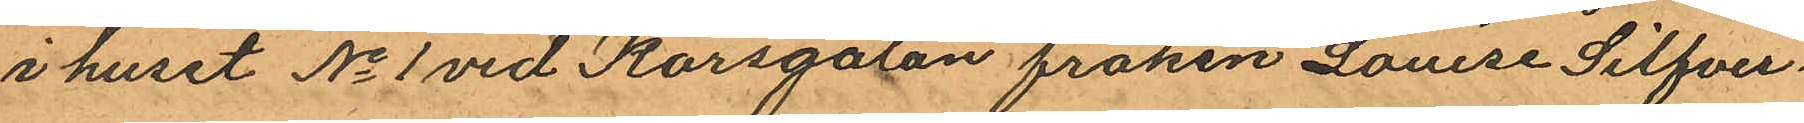i huset No 1 vid Korsgatan fröken Louise Silfver¬
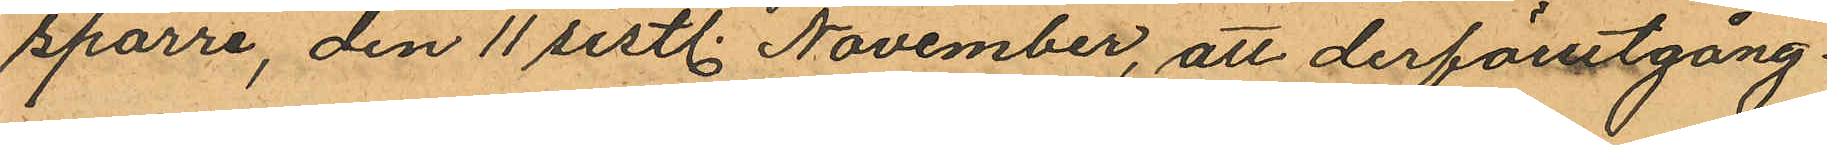sparre, den 11 sistl. November, att derförutgång
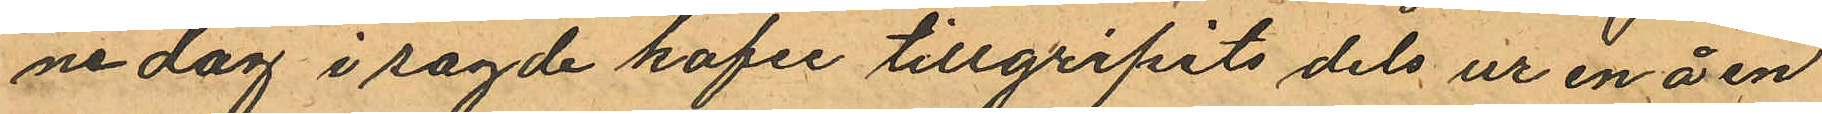ne dag i sagde kafee tillgripits dels ur en å en
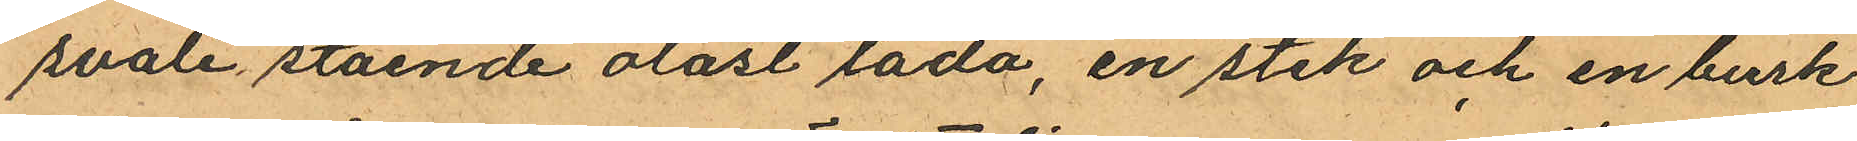svale stående olåst låda, en stek och en burk
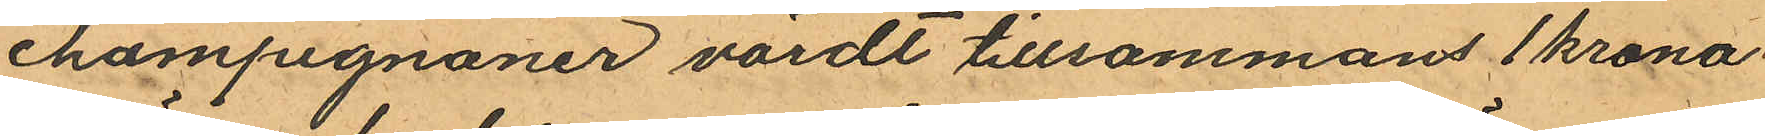champignoner värdt tillsammans 1 krona
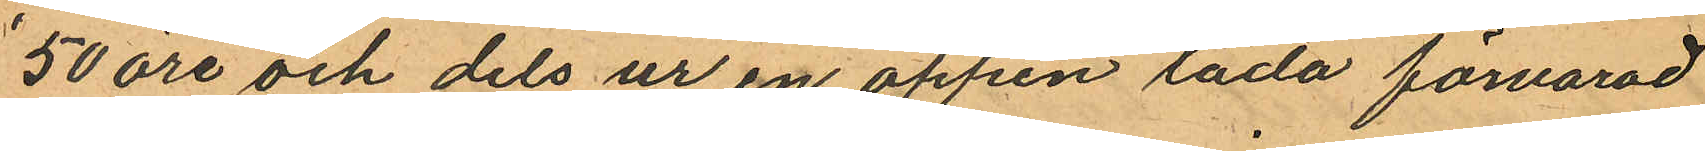50 öre och dels ur en öppen låda förvarad
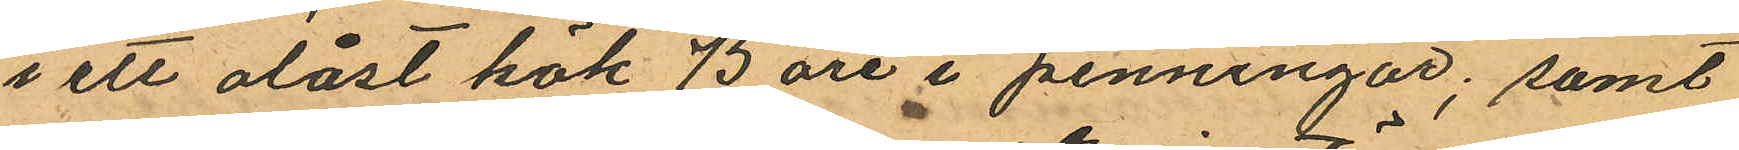i ett olåst kök 75 öre i penningar; samt
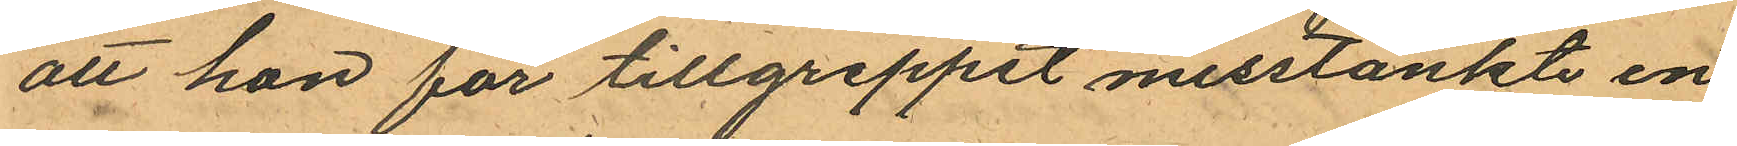att han för tillgreppet misstänkte en
